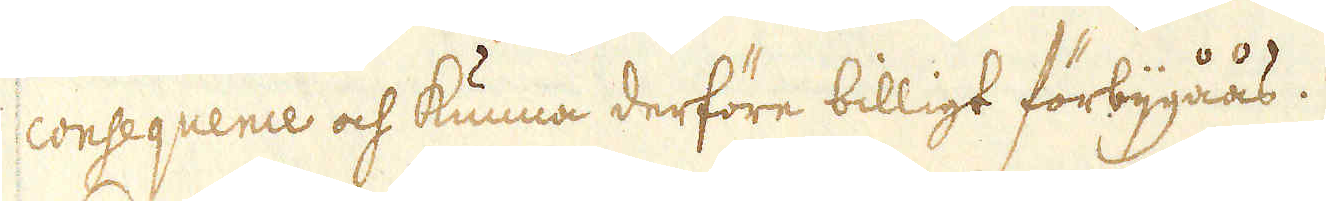consequence och kunna derföre billigt förbijgåås.
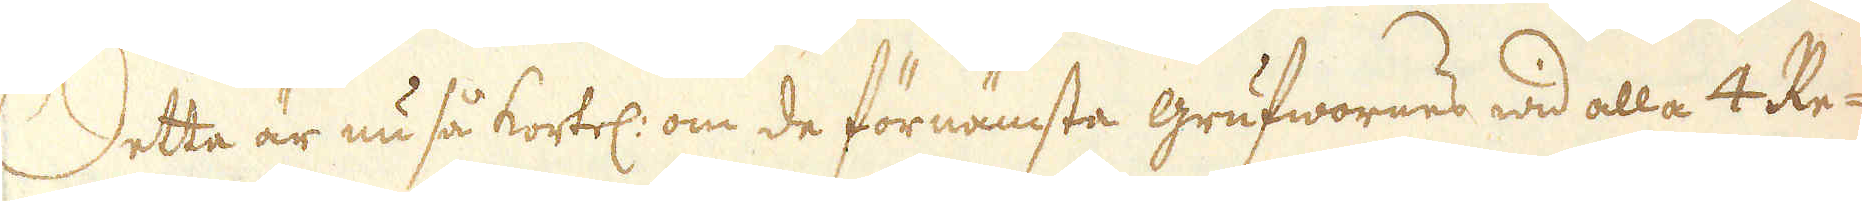Detta är nu så kortel: om de förnämsta grufwornes wid alla 4 Re-
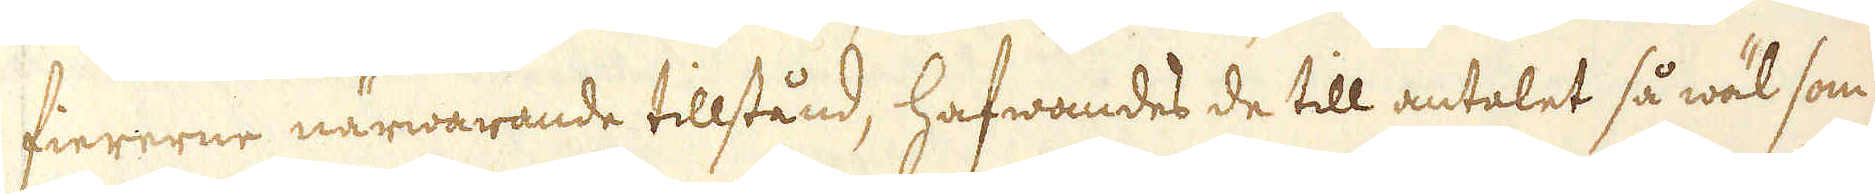fiererne närwarande tillstånd, hafwandes de till antalet så wäl som
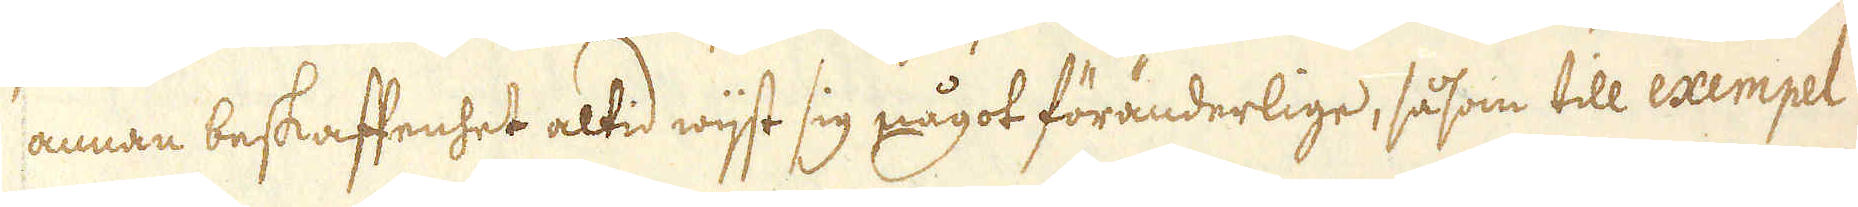annan beskaffenhet altid wijst sig något föränderlige, såsom till exempel
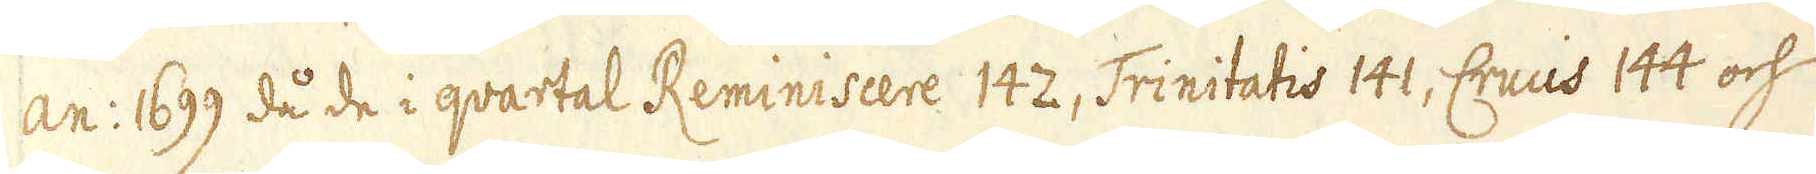an: 1699 då de i qvartal Reminiscere 142, Trinitatis 141, Crucis 144 och
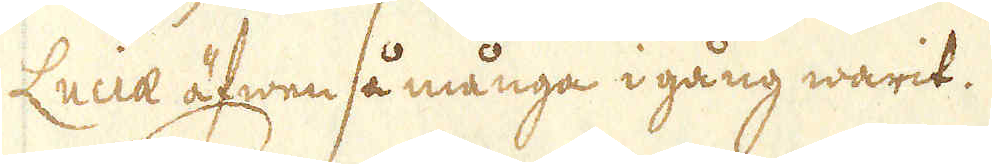Luciae äfwen så många i gång warit.
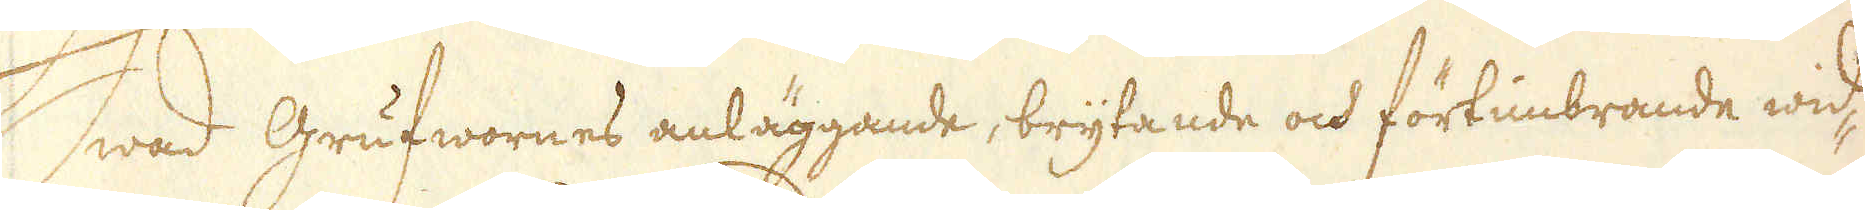Hwad Grufwornes anläggande, brytande och förtimbrande wid-
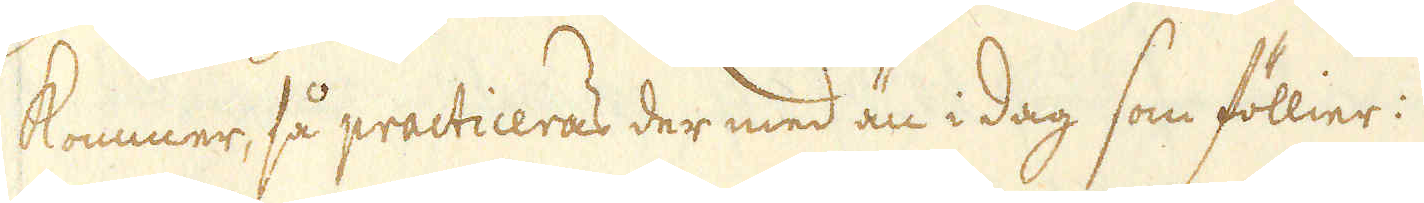kommer, så practiceras der med än i dag som föllier:
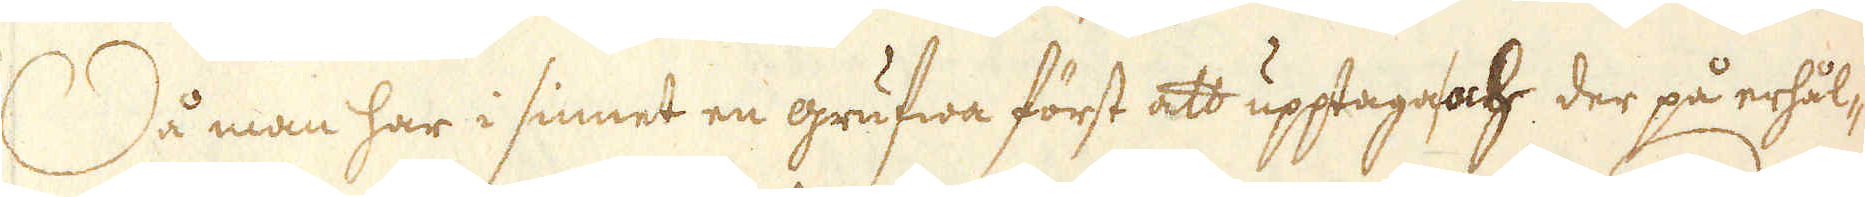Då man har i sinnet en grufwa först att upptaga och der på erhål-
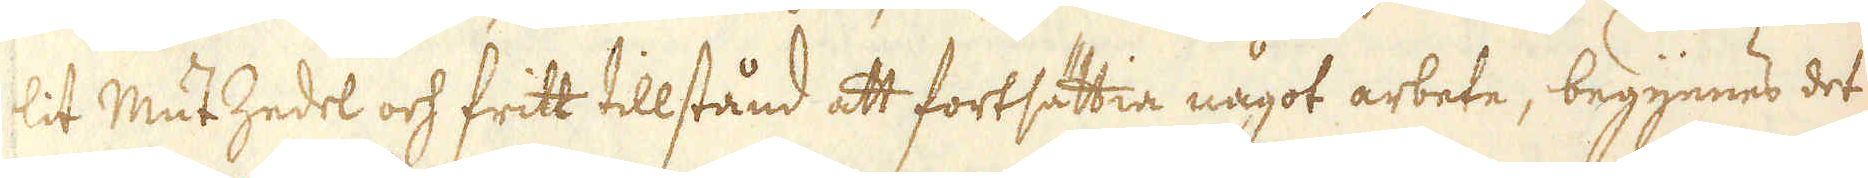lit MutZedel och fritt tillstånd att fortsättia något arbete, begynnes det
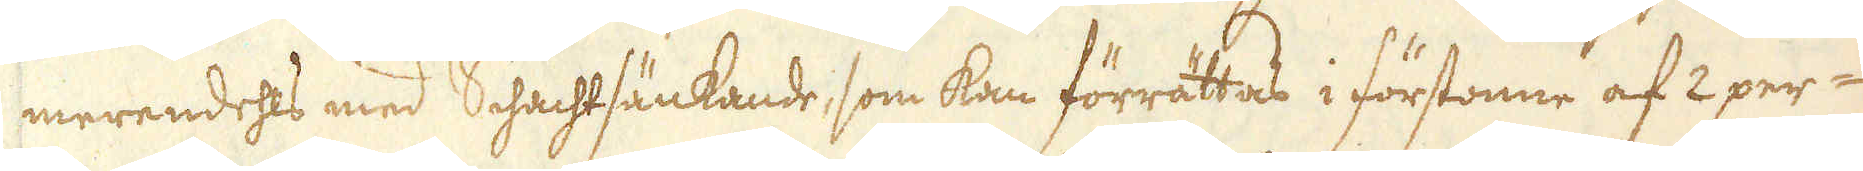merendehls med Schachtsänkande, som kan förrättas i förstonne af 2 per-
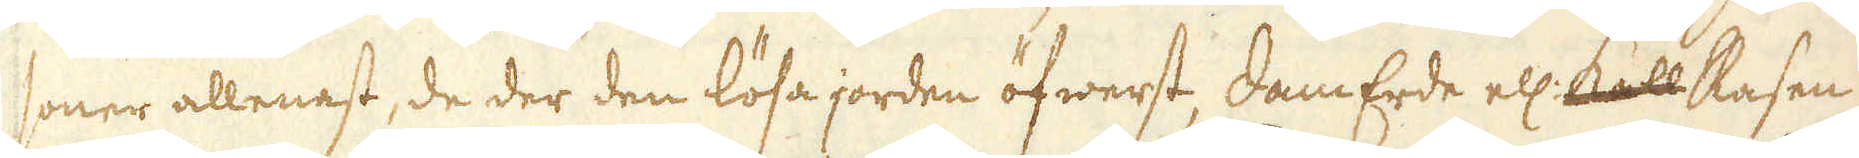soner allenast, de der den lösa jorden öfwerst, DamErde ell: kall Rasen
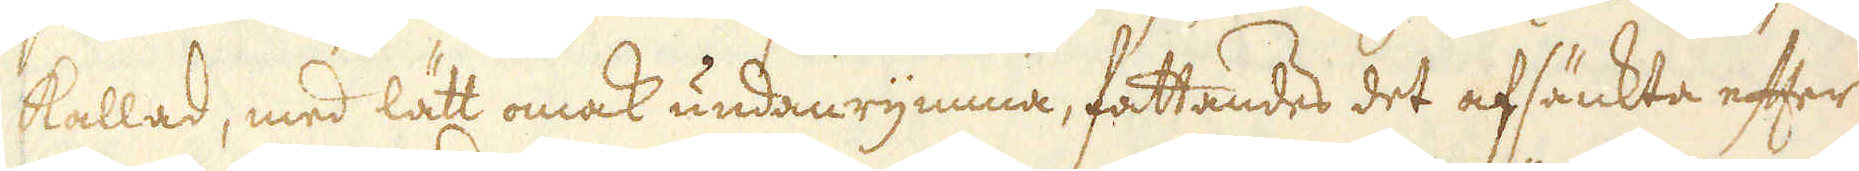kallad, med lätt omak undanrymma, fattandes det afsänkta efter
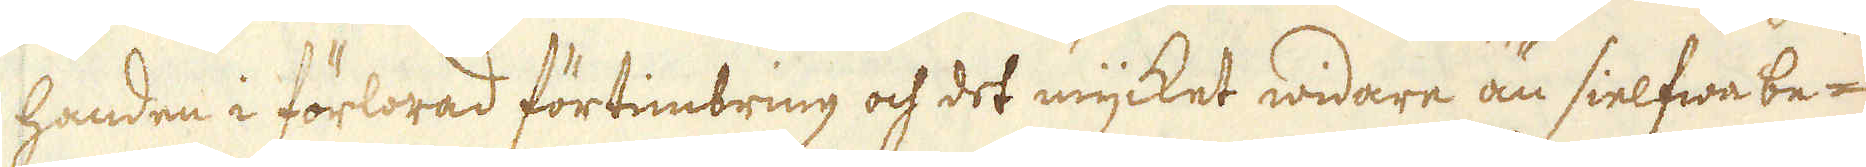handen i förlorad förtimbring och det mycket widare än sielfwa be-
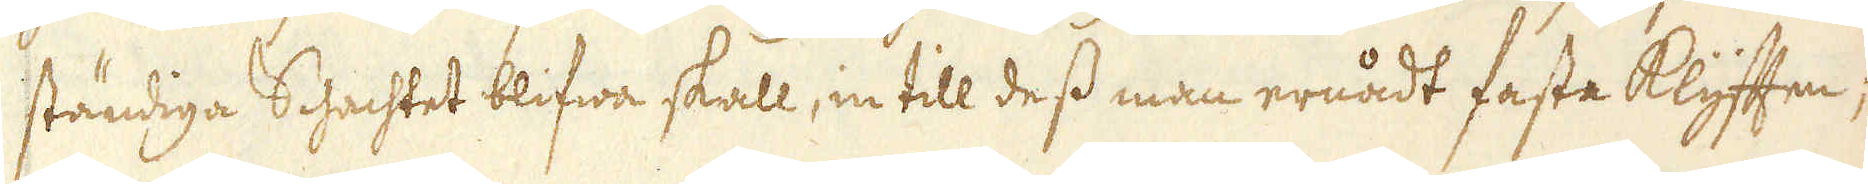ständiga Schachtet blifwa skall, in till dess man ernådt fasta Klyften,
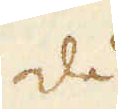då
